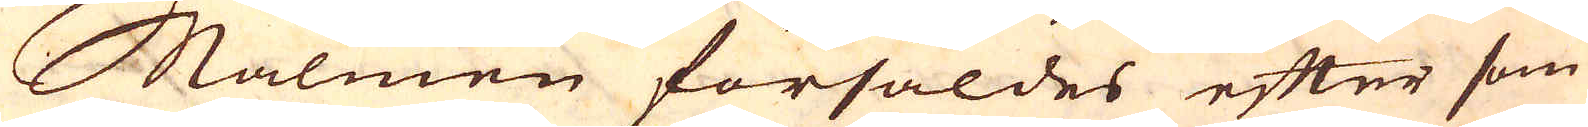Malmen försåldes efter som
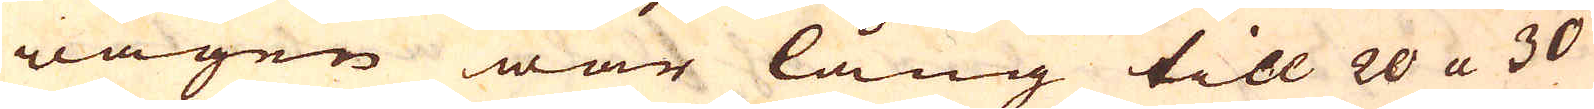wägen war lång till 20 a 30
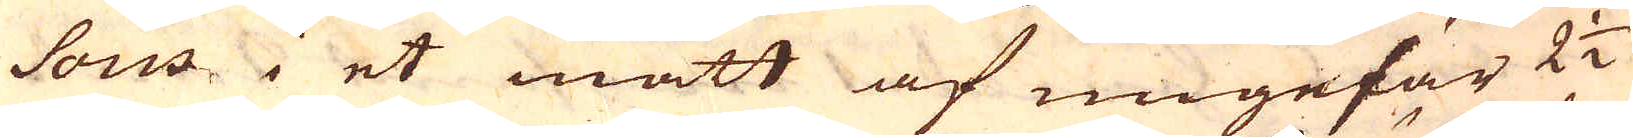sous i i et mått af ungefär 2 1/2
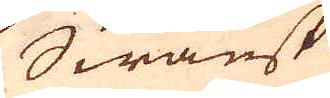Swänsk
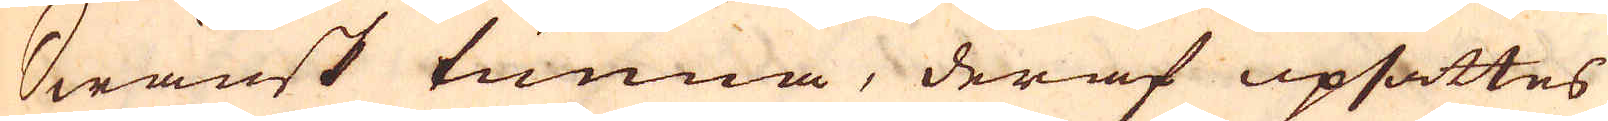Swänsk tunna, deraf upsättes
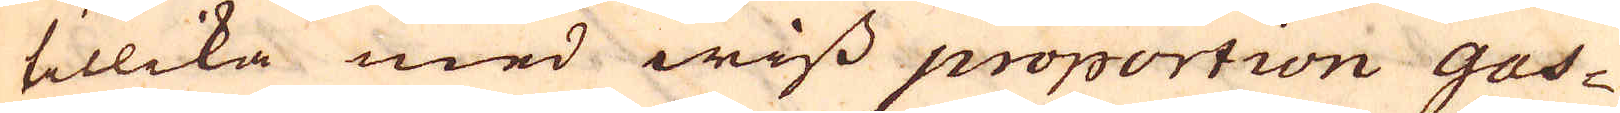tillika med wiss proportion Gas-
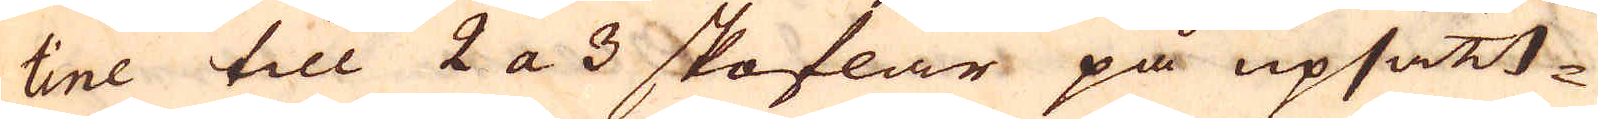tine till 2 a 3 skoflar på upsätt-
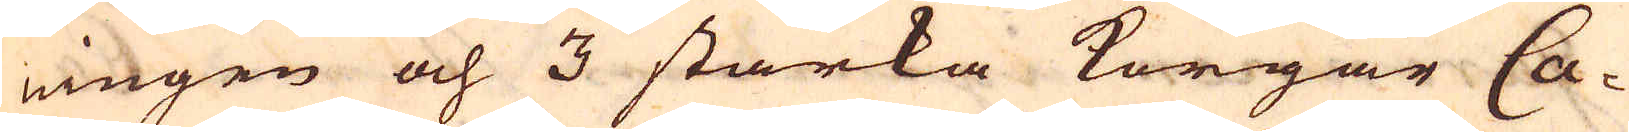ningen och 3 starka korgar Ca-
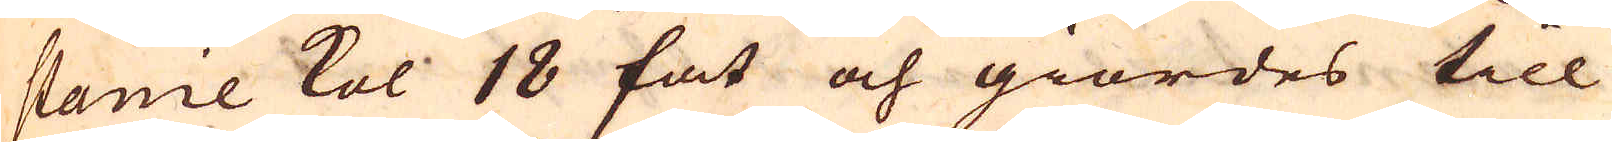stanie kol 18 fat och giordes till
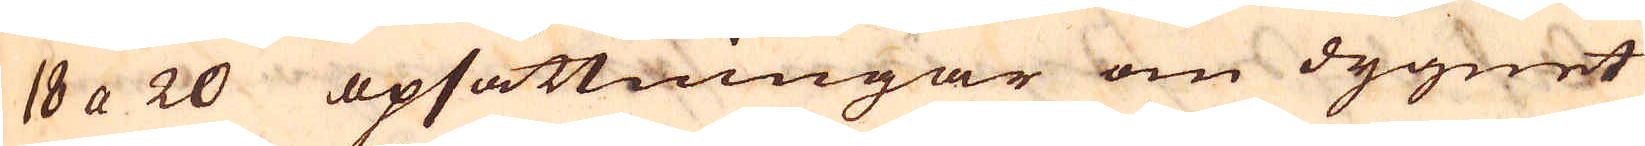18 a 20 opsättningar om dygnet
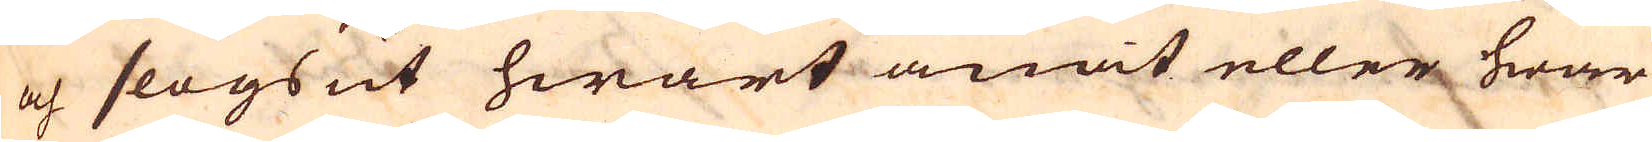och slogs ut hwart anat eller hwar
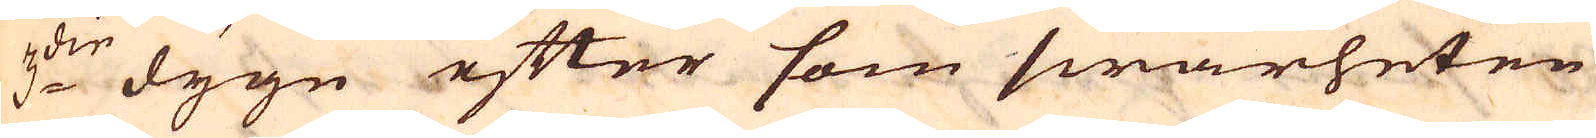3:die dygn efter som swårheten
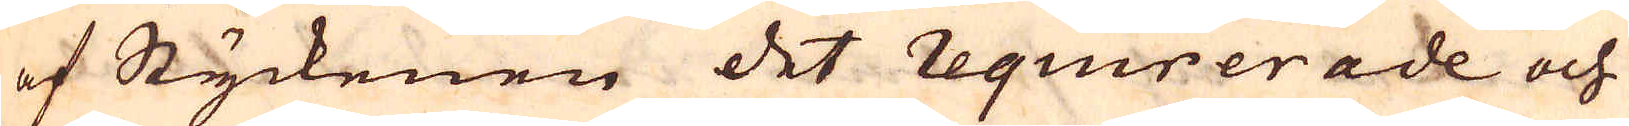af Styckenen det requrerade och
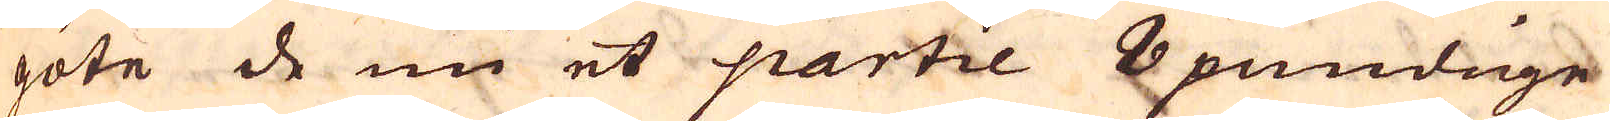göte de nu et partie 8 pundige
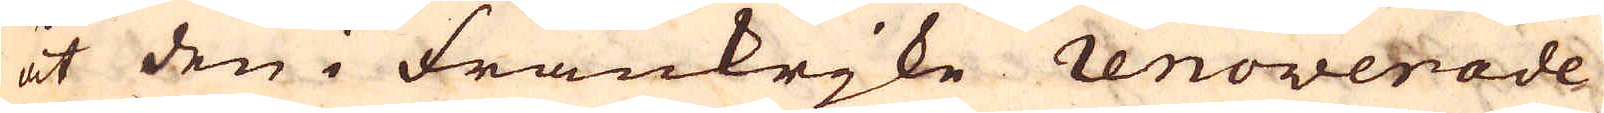åt den i Frankrjke renoverade
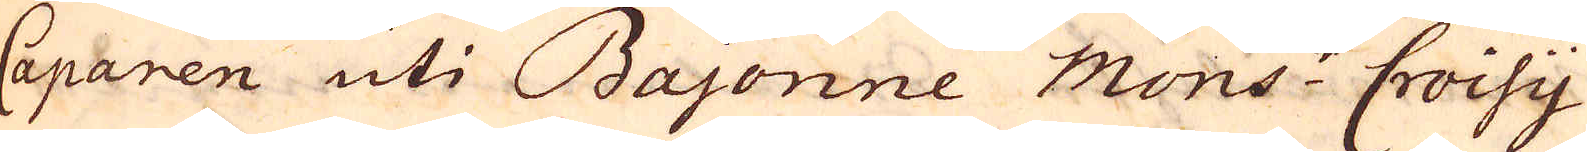Caparen uti Bajonne Mons:r Croisy
